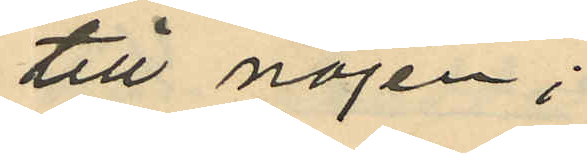till nöjen;
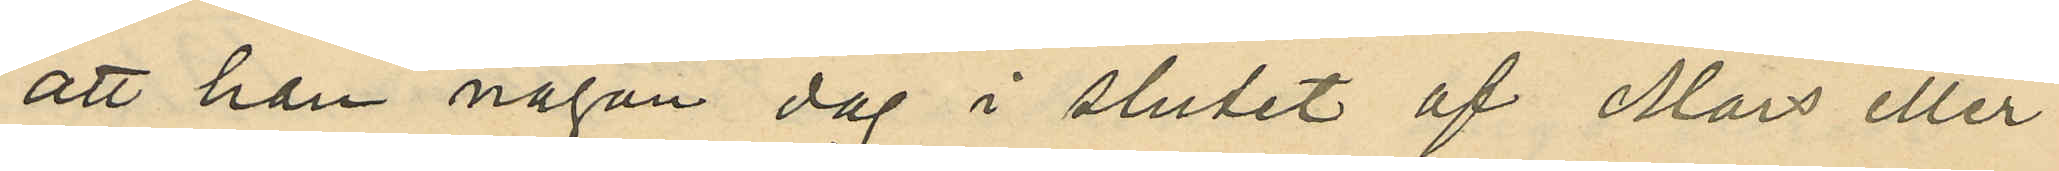att han någon dag i slutet af Mars eller
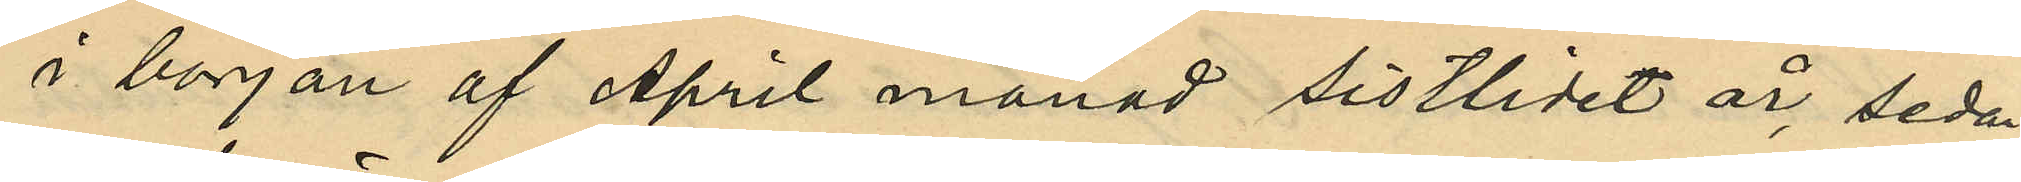i början af April månad sistlidet år, sedan
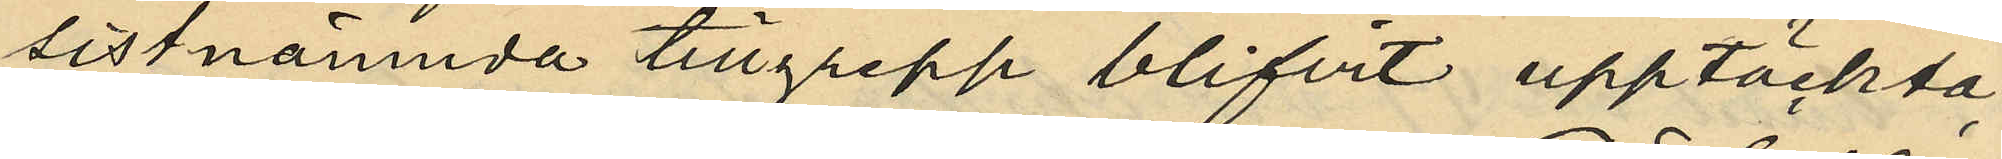sistnämnda tillgrepp blifvit upptäckta,
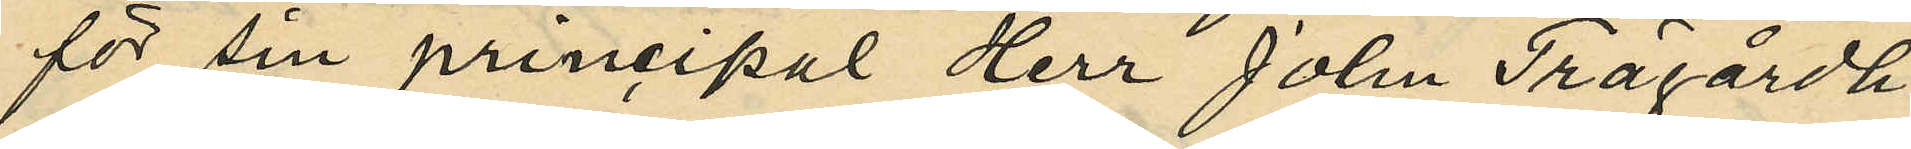för sin princpal Herr John Trägårdh
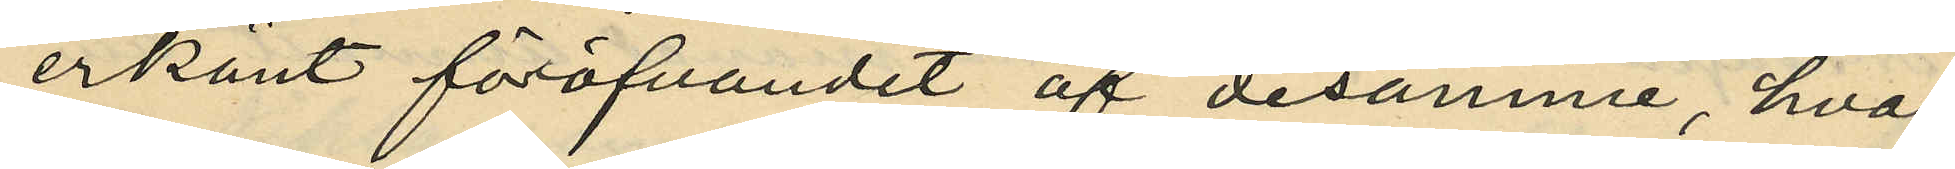erkänt föröfvandet af desamme, hvar¬
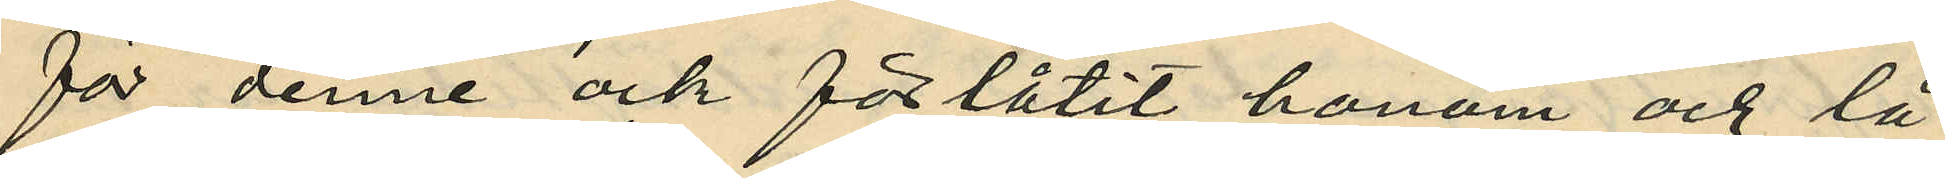för denne ock förlåtit honom och lå¬
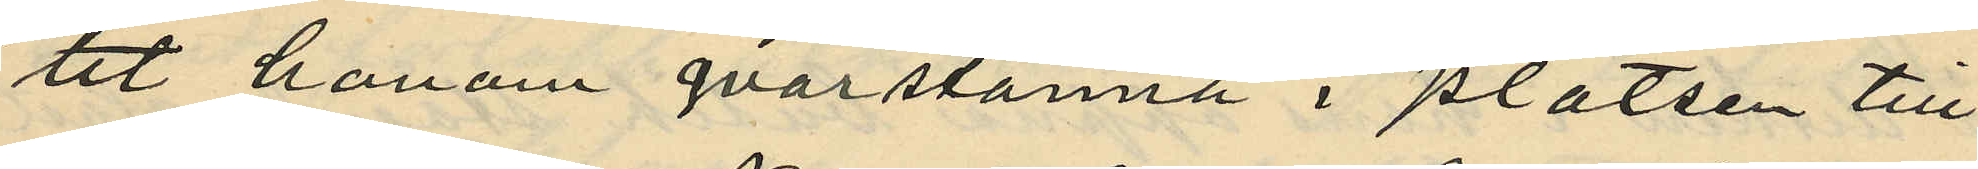tit honom qvarstanna i platsen till
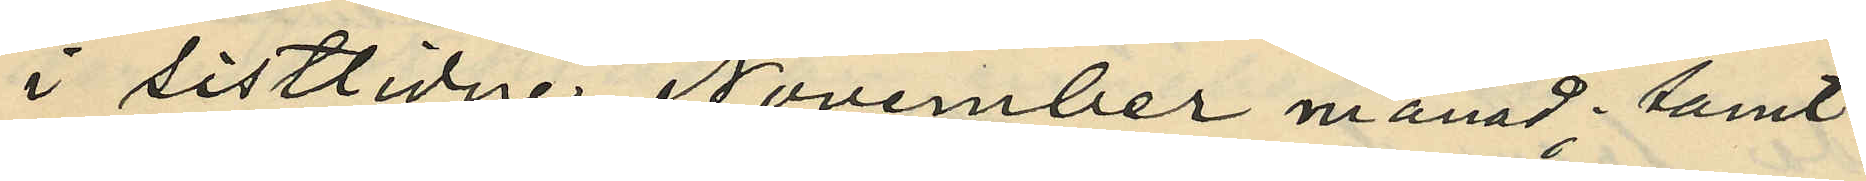i sistlidne November månad; samt
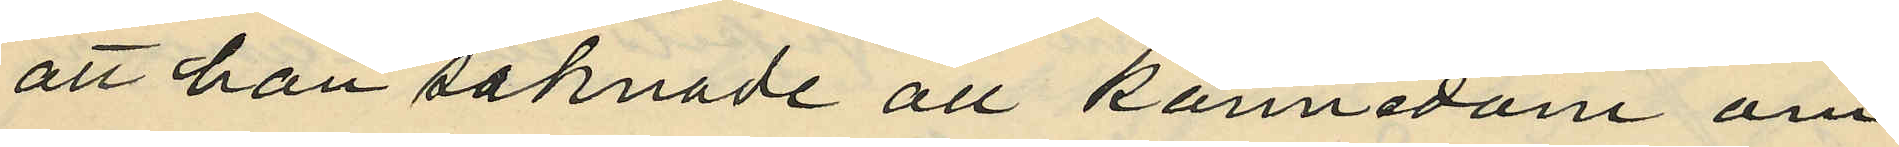att han saknade all kännedom om
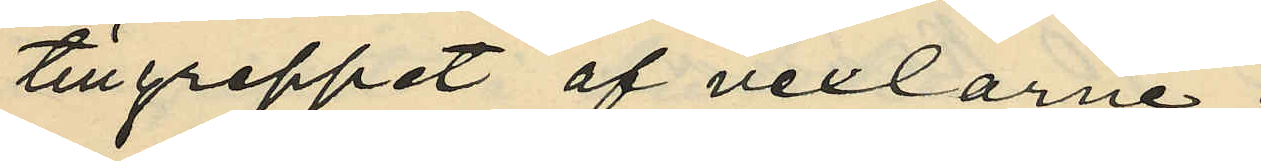tillgreppet af vexlarne.
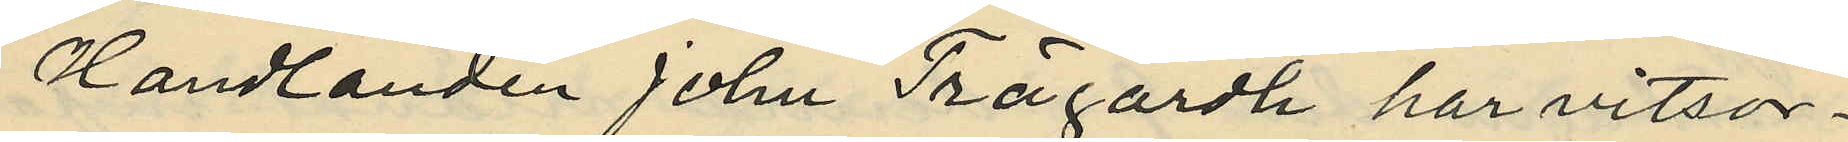Handlanden John Trägårdh har vitsor¬
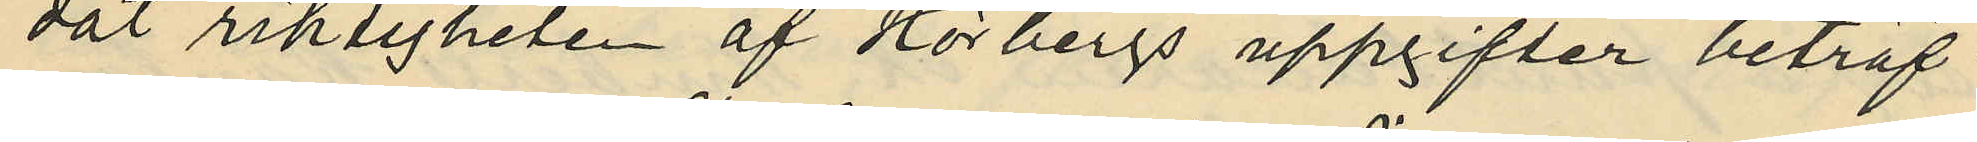dat riktigheten af Hörbergs uppgifter beträf¬
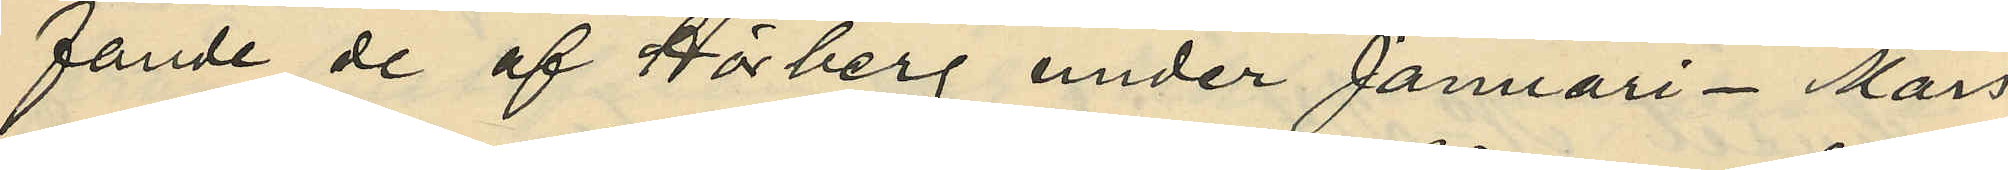fande de af Hörberg under Januari - Mars
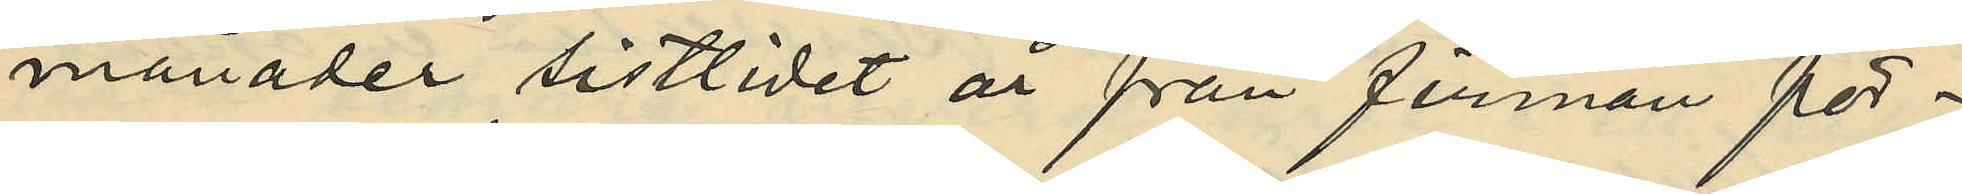månader sistlidet år från firman för¬
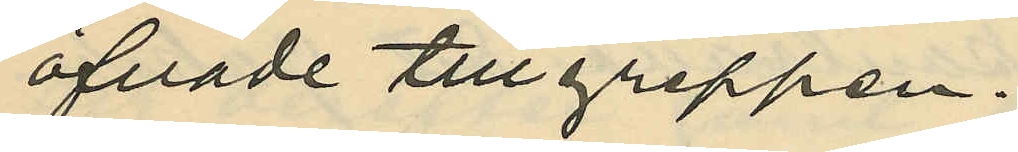öfvade tillgreppen.
